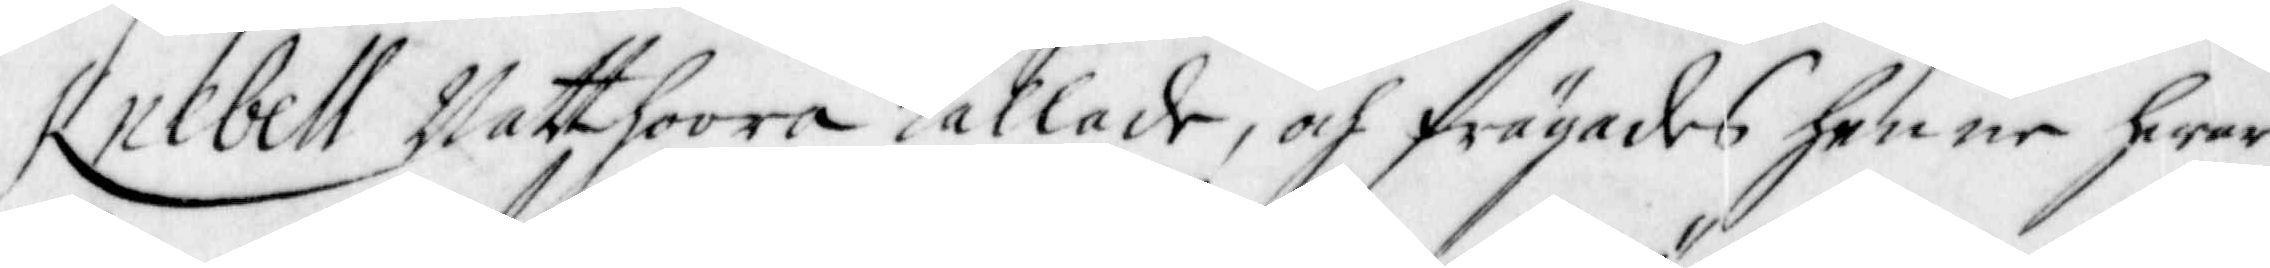Knebell Natthoora Kallade, och frägades henne hwar
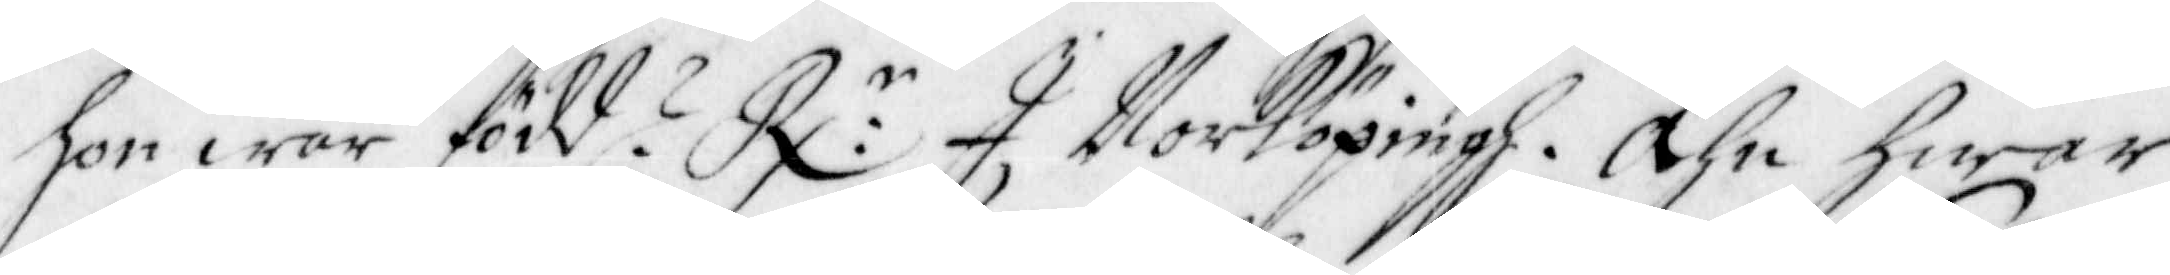hon war född? R:r I Norköpingh. Ähn hwar
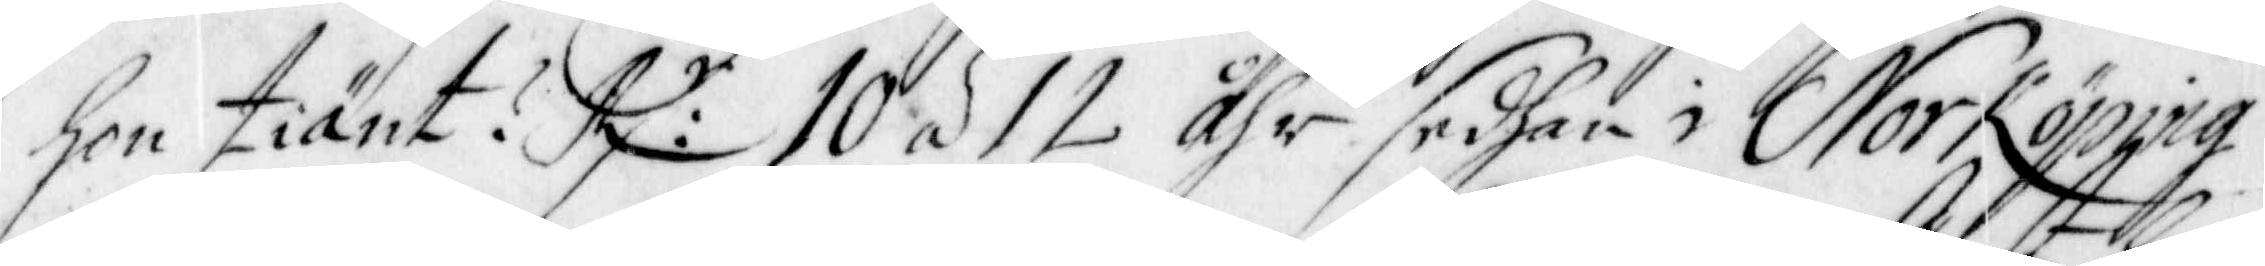hon tiänt? R:r 10 á 12 Åhr sedhan i Norköping
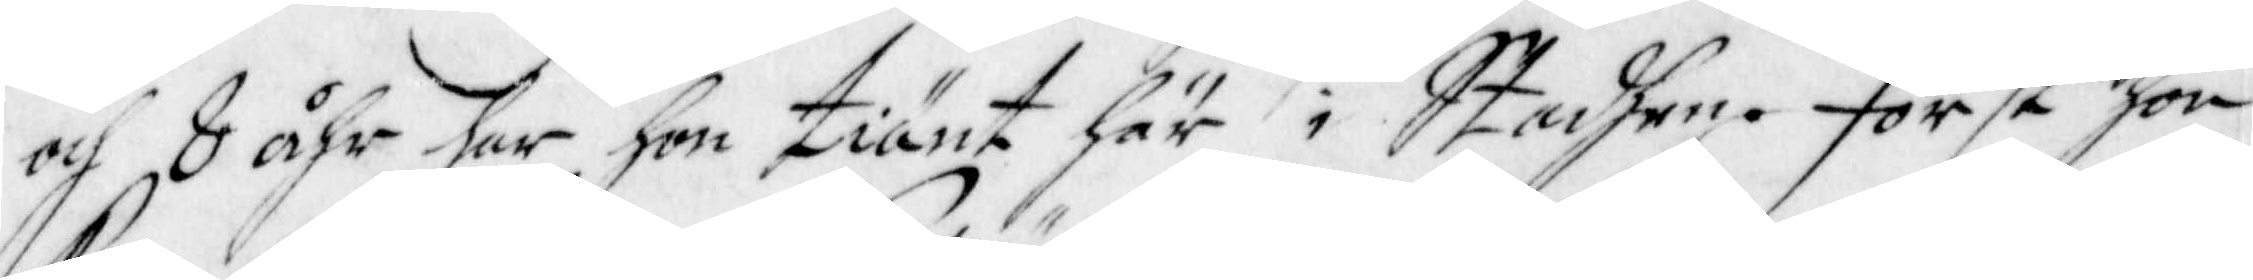och 8 åhr har hon tiänt här i Stadhen. Först hon
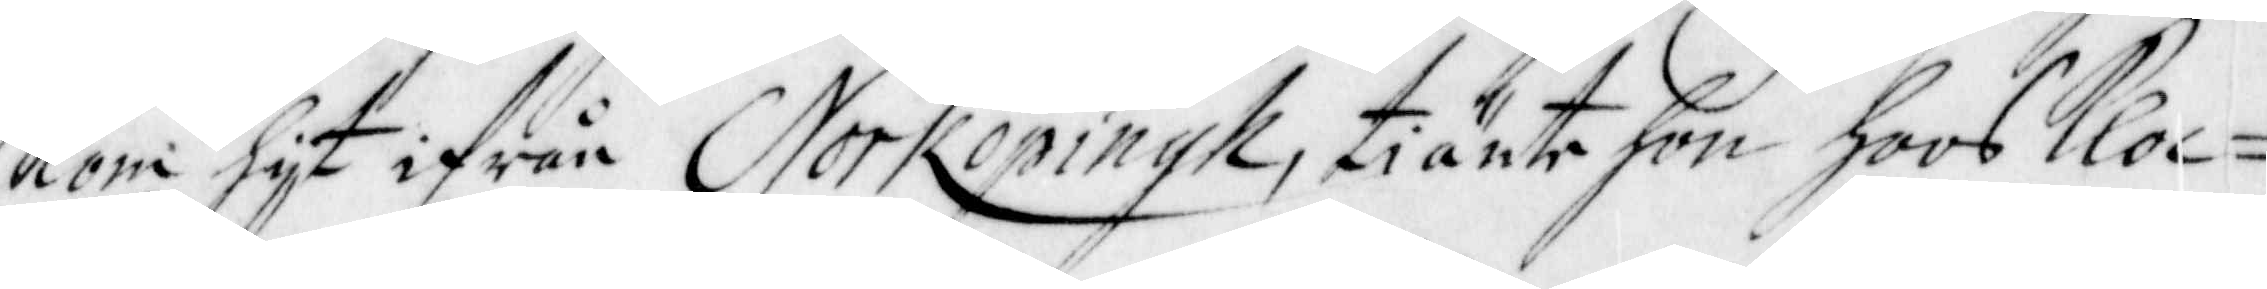Kom hijt ifrån Norkiöpingh, tiänte hon hoos kloc¬
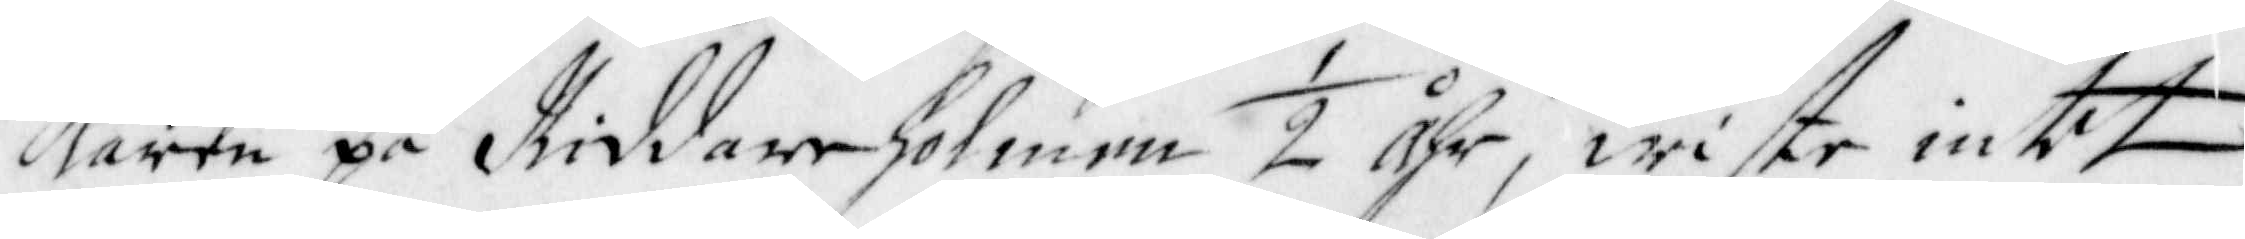karen på Riddareholmen ½ Åhr, wiste intet
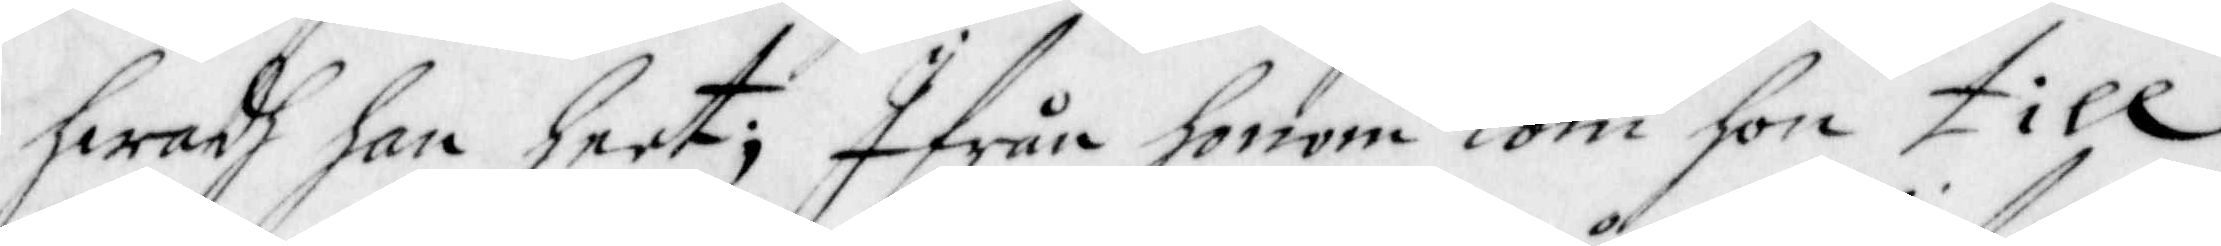hwadh han heet; Ifrån honom kom hon till
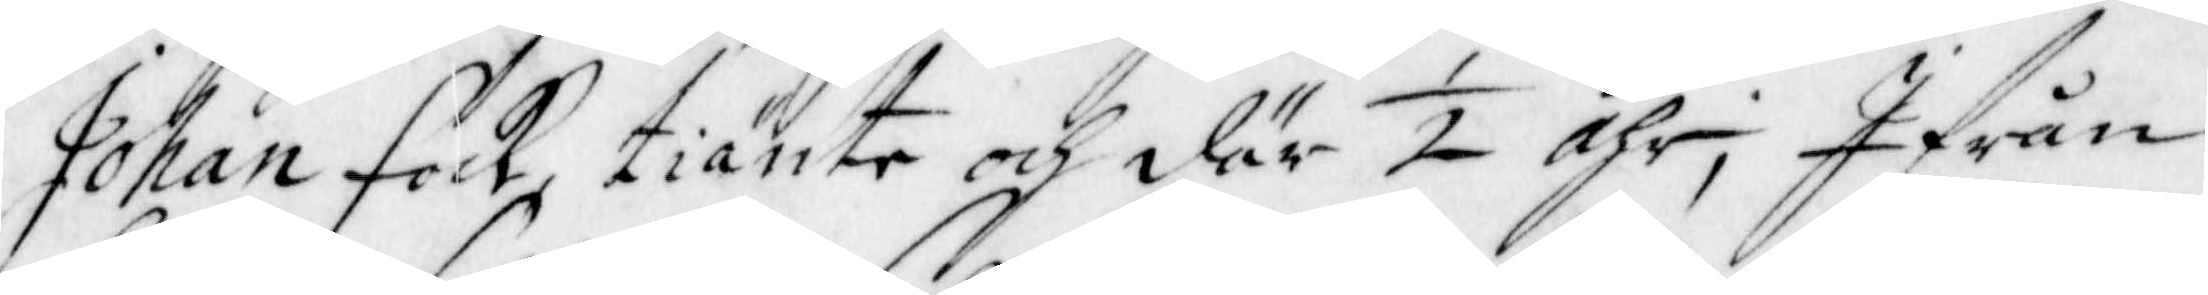Johan Fock, tiänte och där ½ Åhr; Ifrån
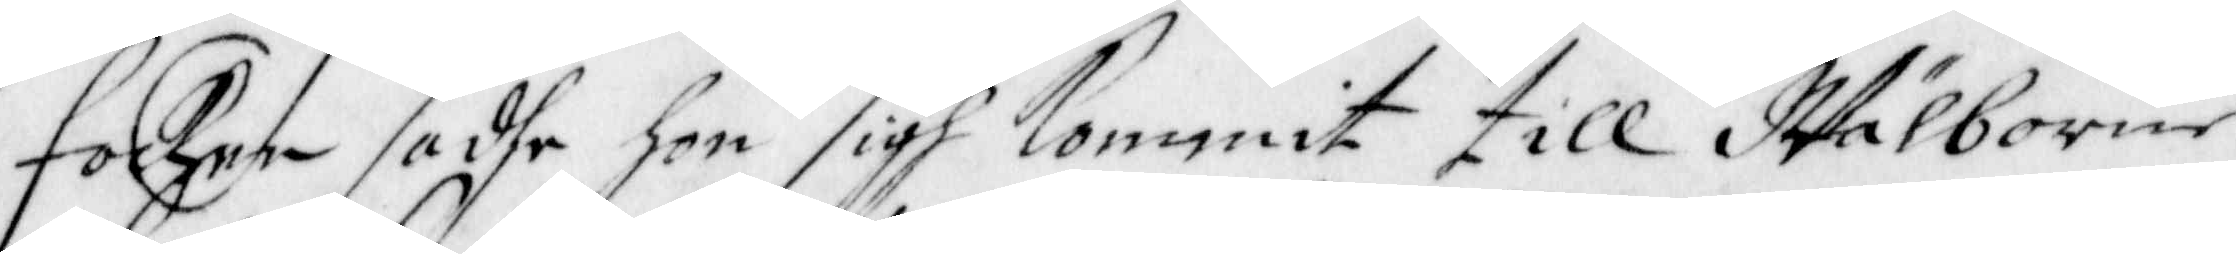Focken sadhe hon sigh kommit till Wälborne
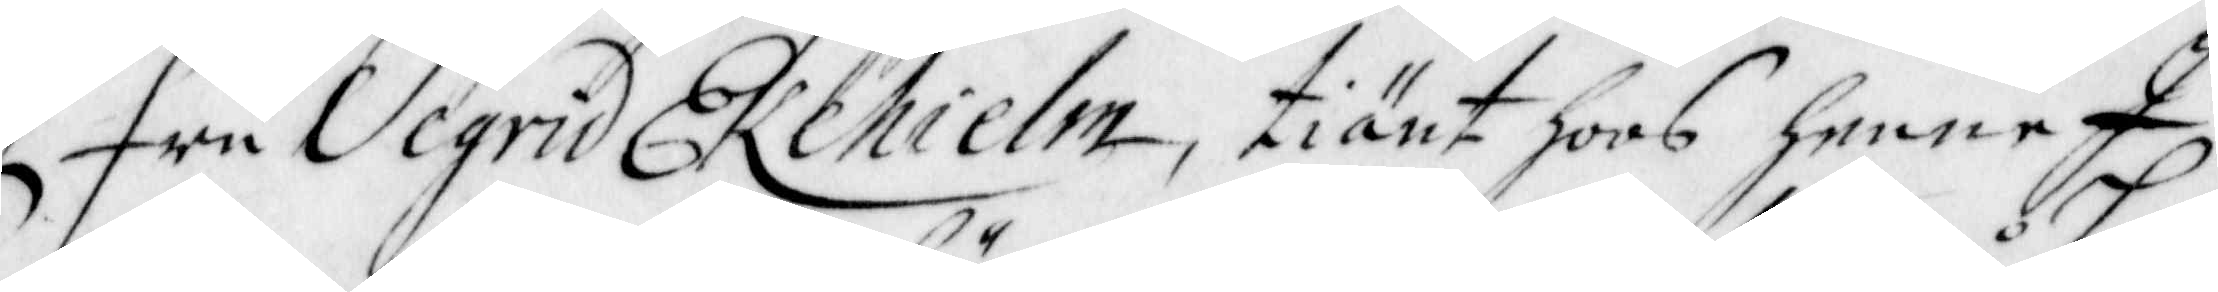Fru Segrid Ekehielm, tiänt hoos henne I
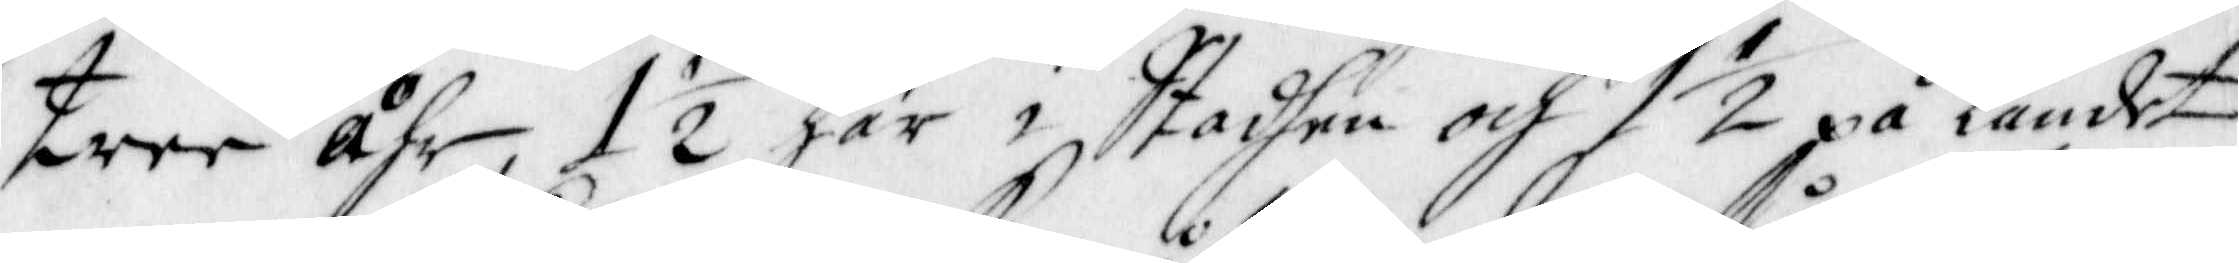Tree Åhr, 1 ½ Åhr här i Stadhen och 1 ½ på Landet
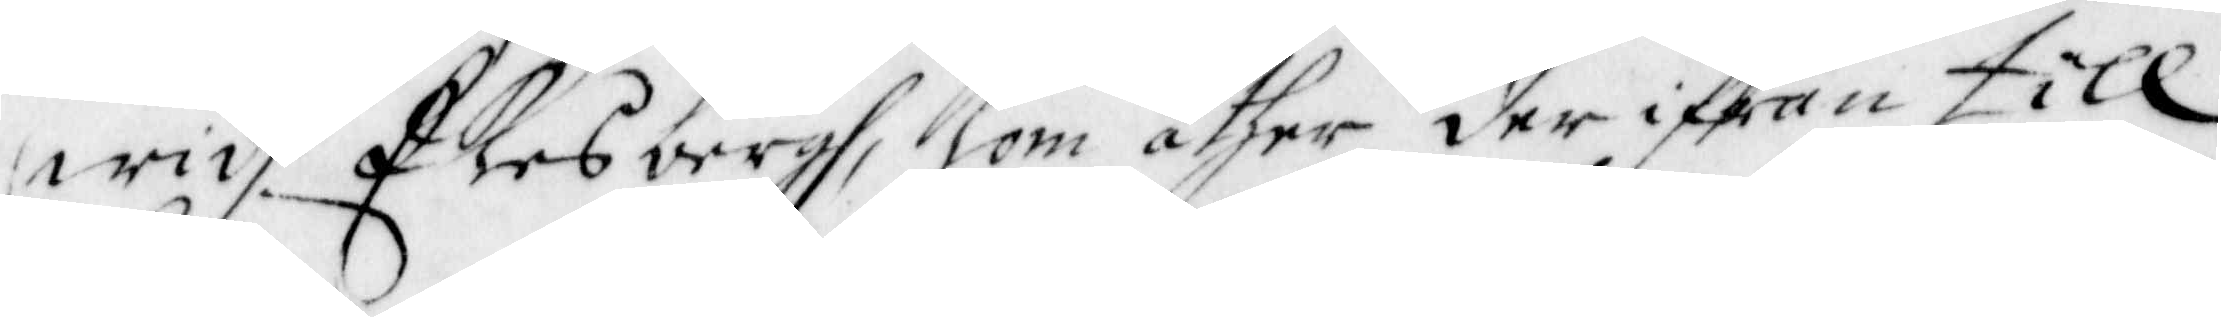widh Ekesbergh, kom åther der ifrån till
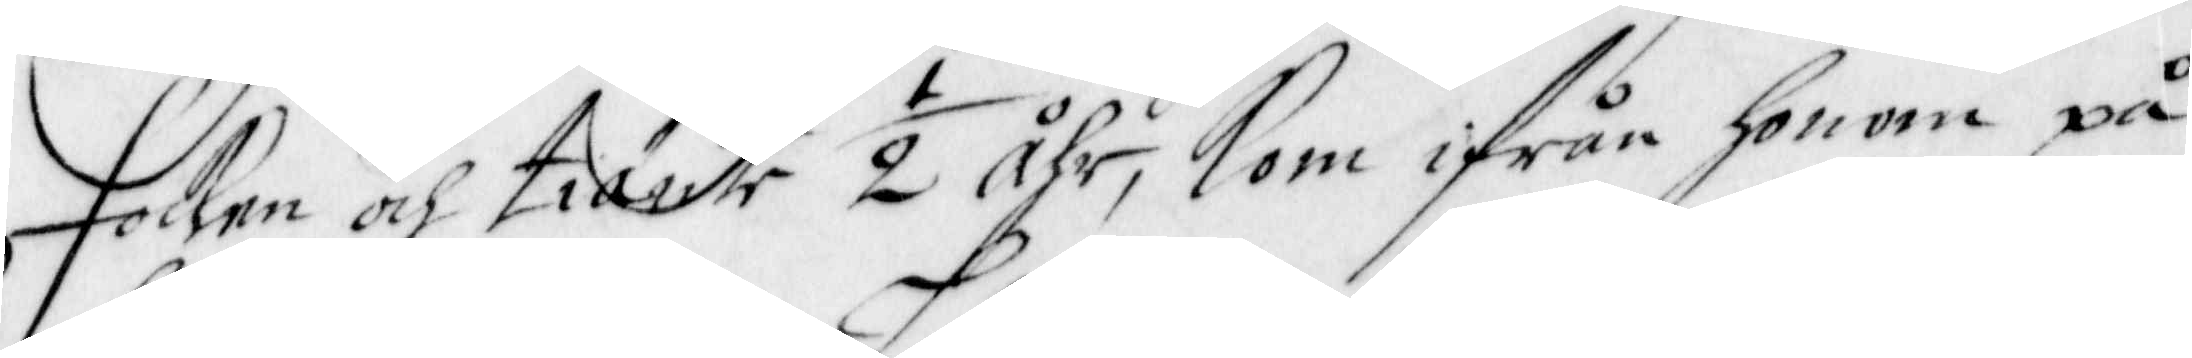Focken och tiänte ½ Åhr, kom ifrån honom på
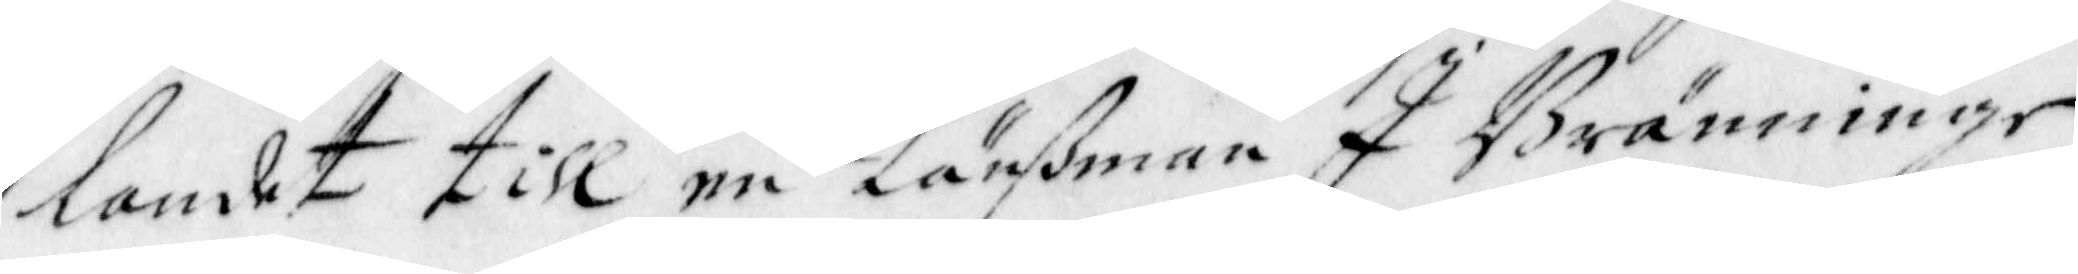landet till en Länßman I Bränninge
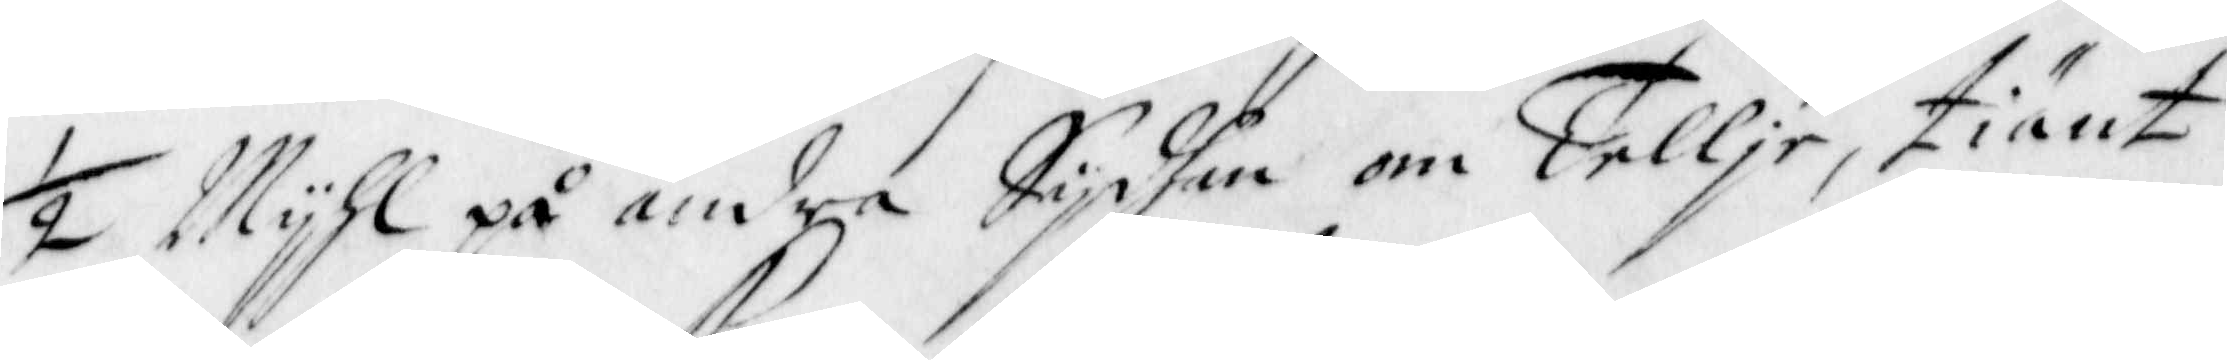½ Mijhl på andra Sijdhan om Tellje, tiänt
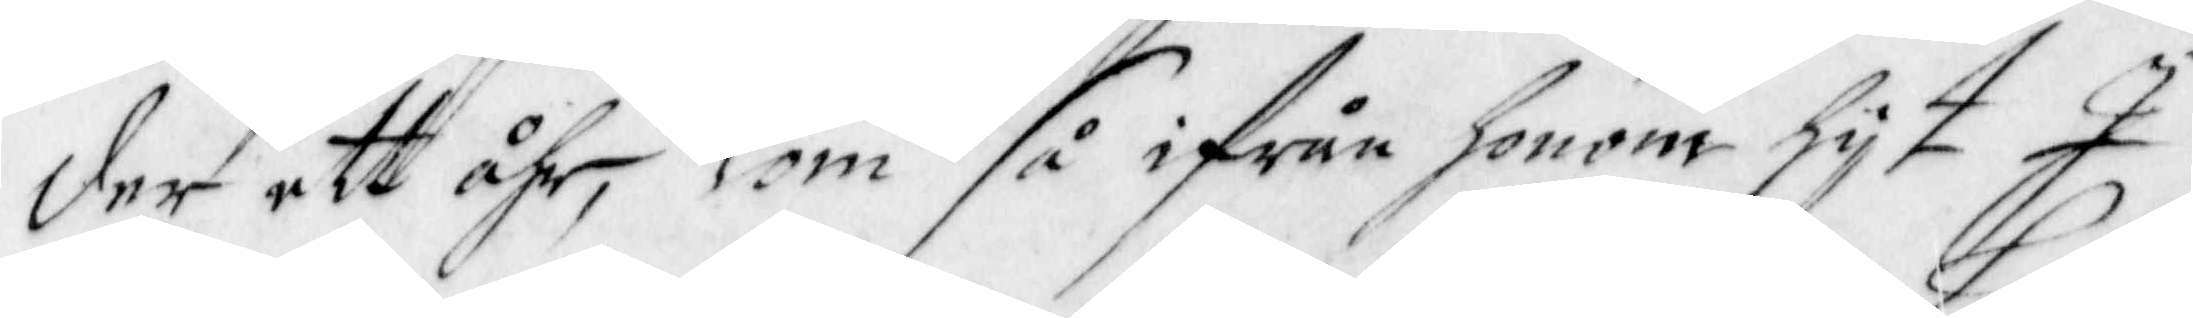der ett Åhr, kom så ifrån honom hijt I
